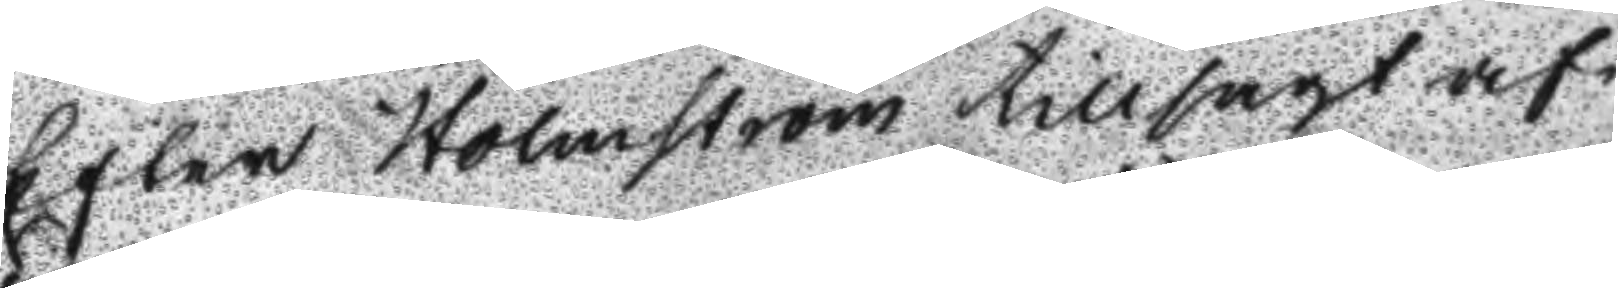Efter Holmström tillsagt af¬
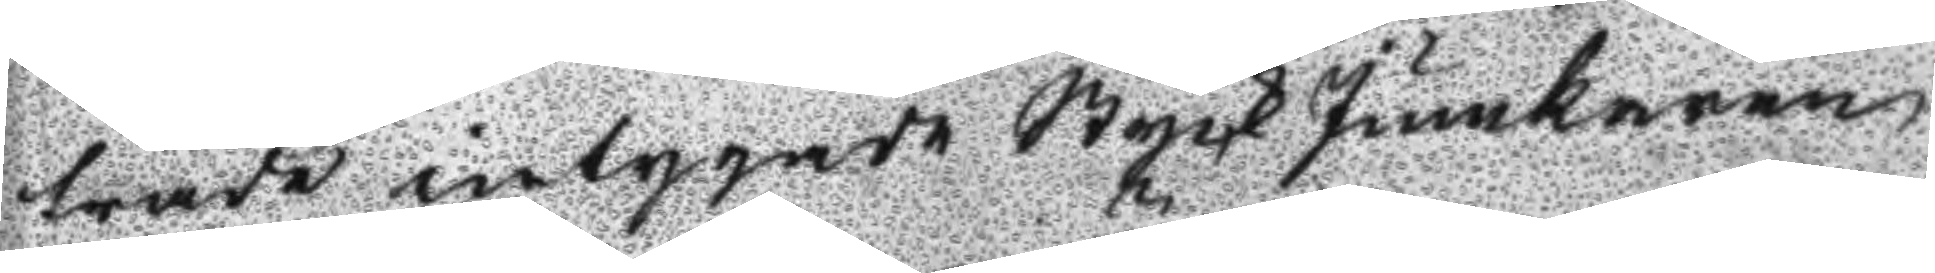träde intygade Styck Junkaren
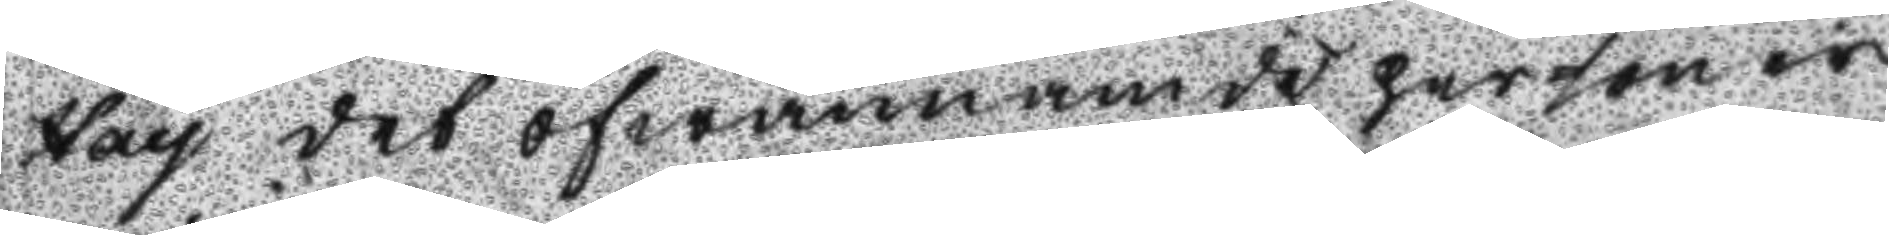Hay det ofwannämde personer
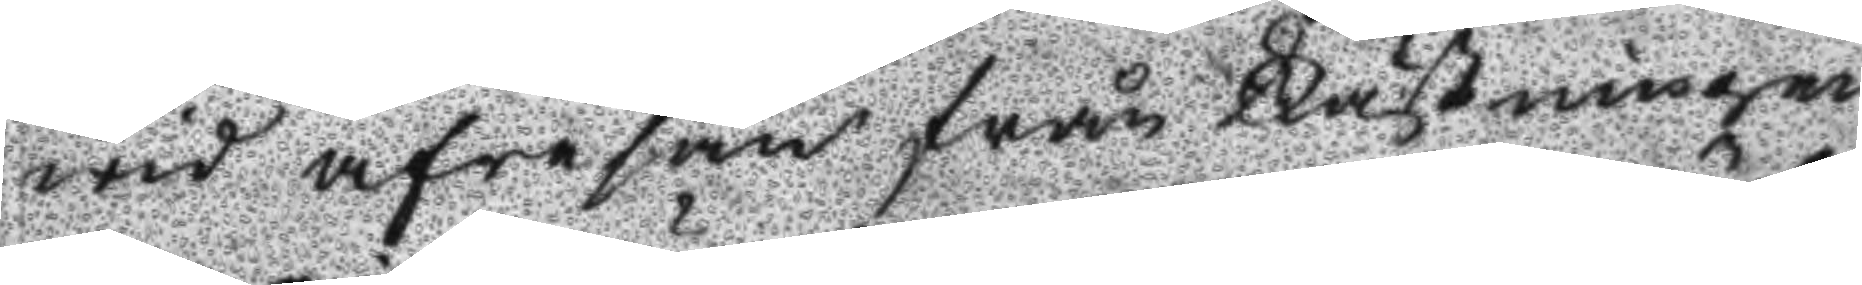wid afresan från Fästningen
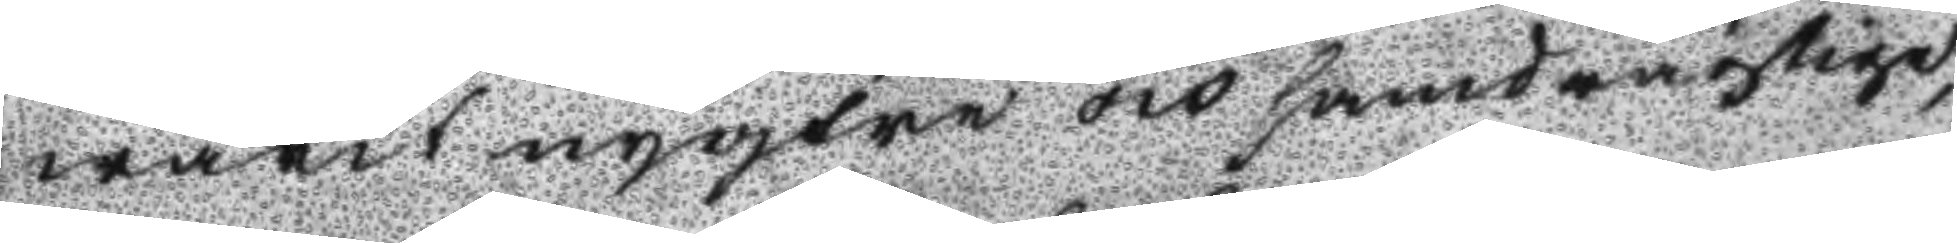warit nygtra och handrägtige,
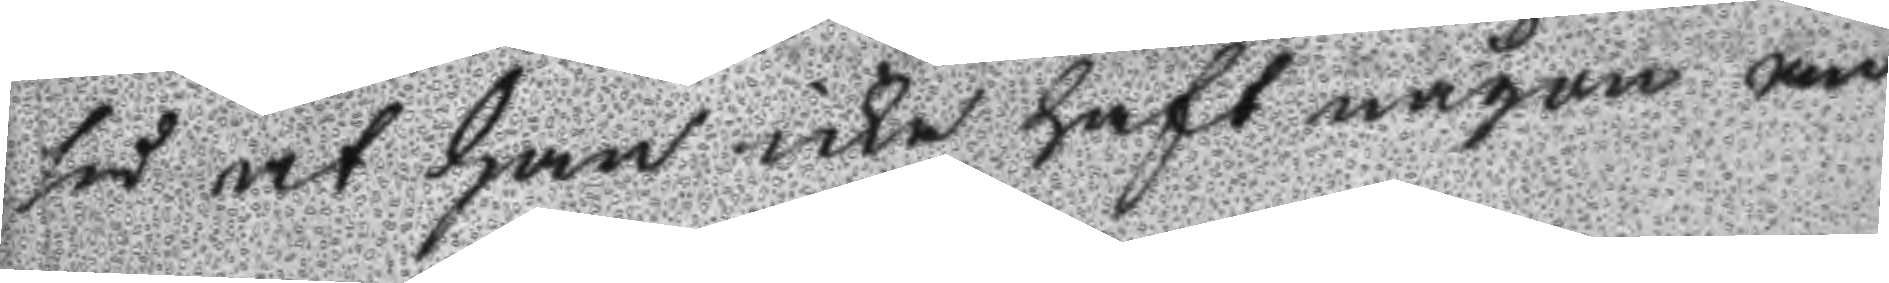så at han icke haft någon an
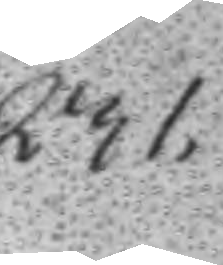231.
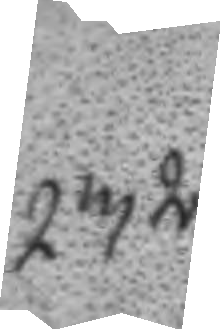232.
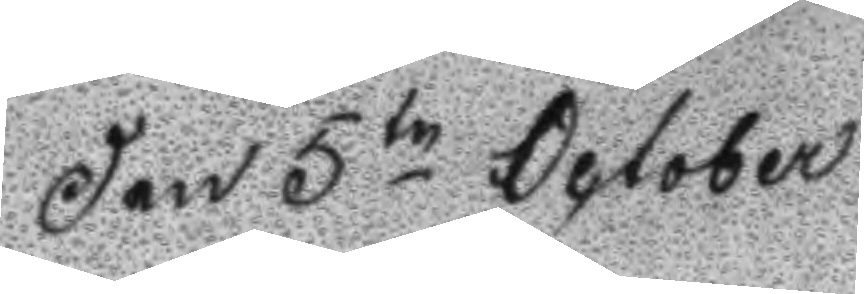Den 5te October
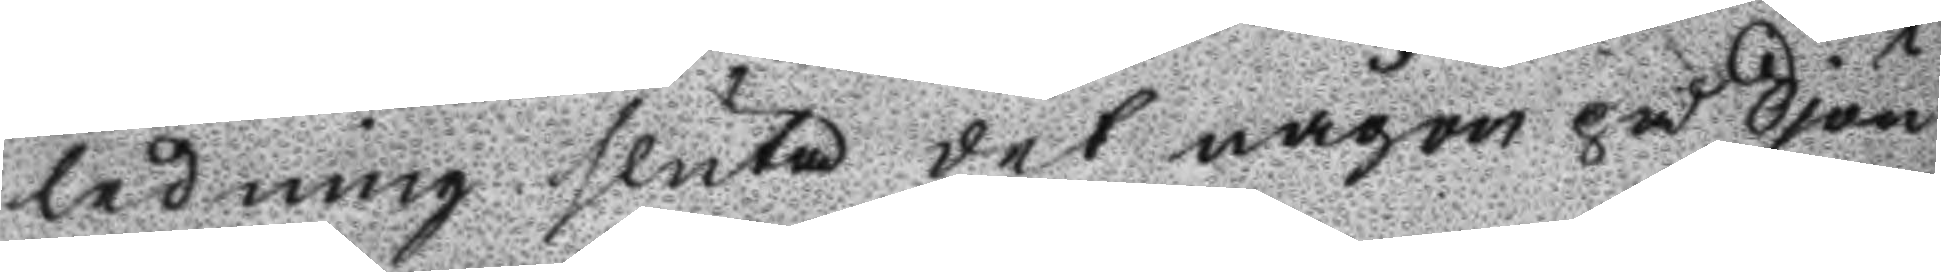ledning sluta det någon på Sjön
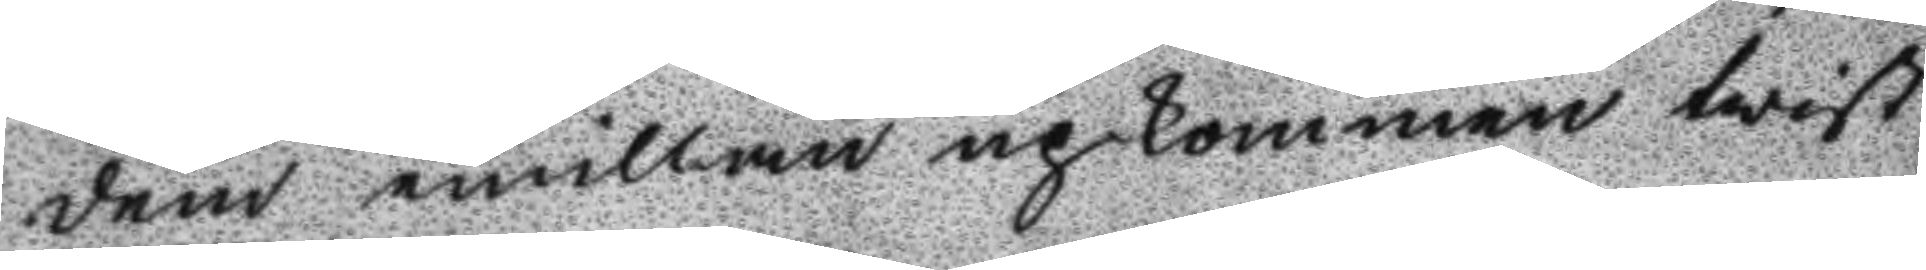dem emillan upkommen twist
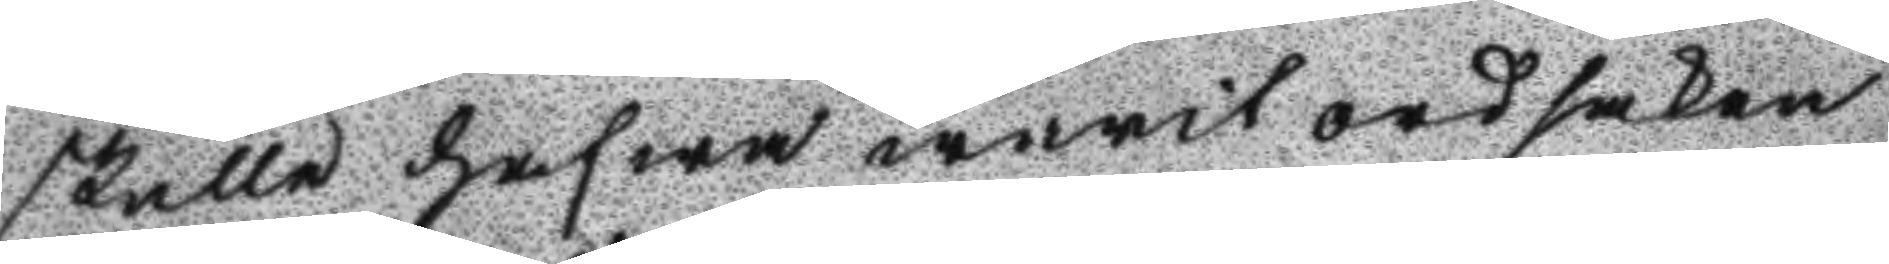skulle hafwa warit ordsaken
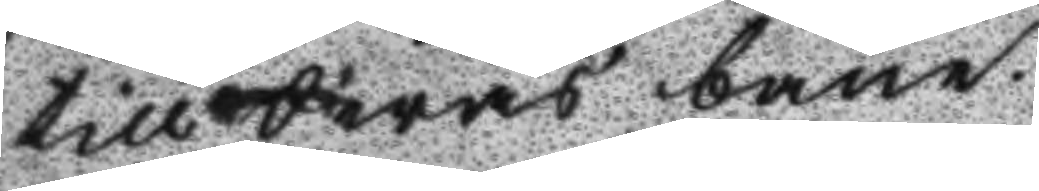till deras bane.
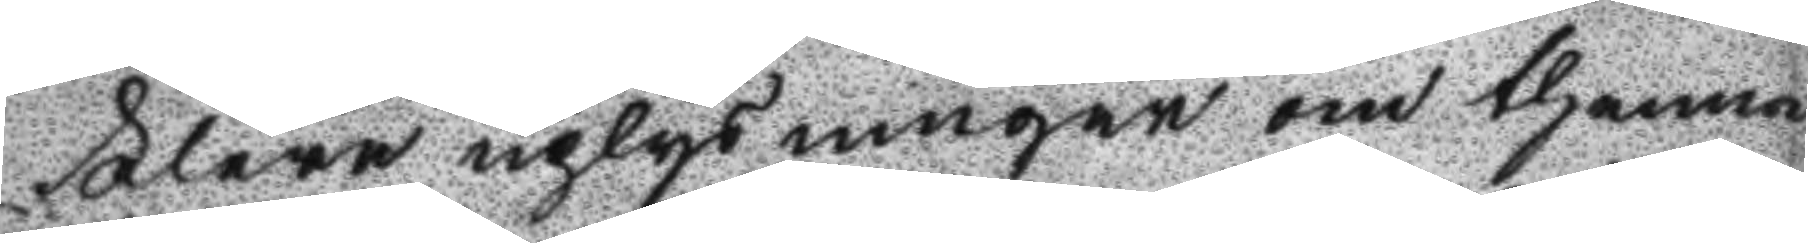Flera uplysningar om thenna
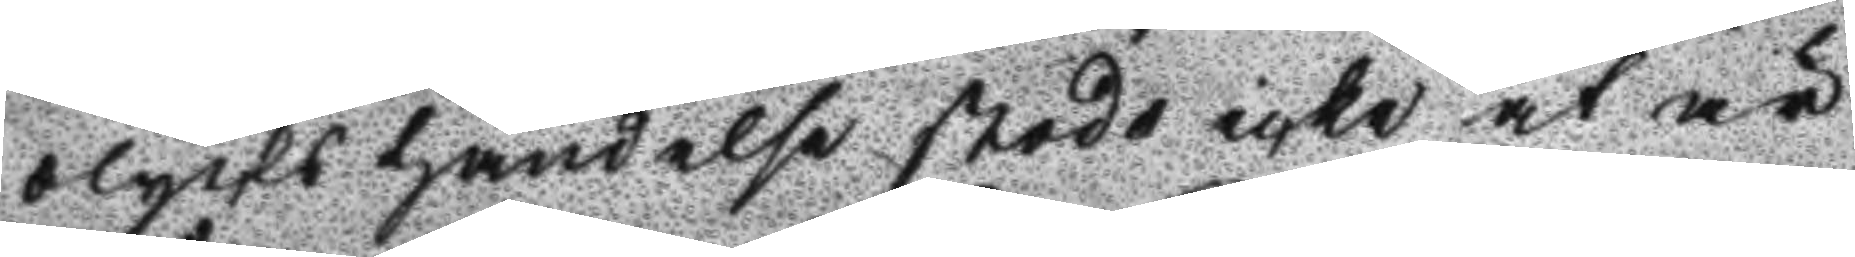olyckshändelse stodo icke at är
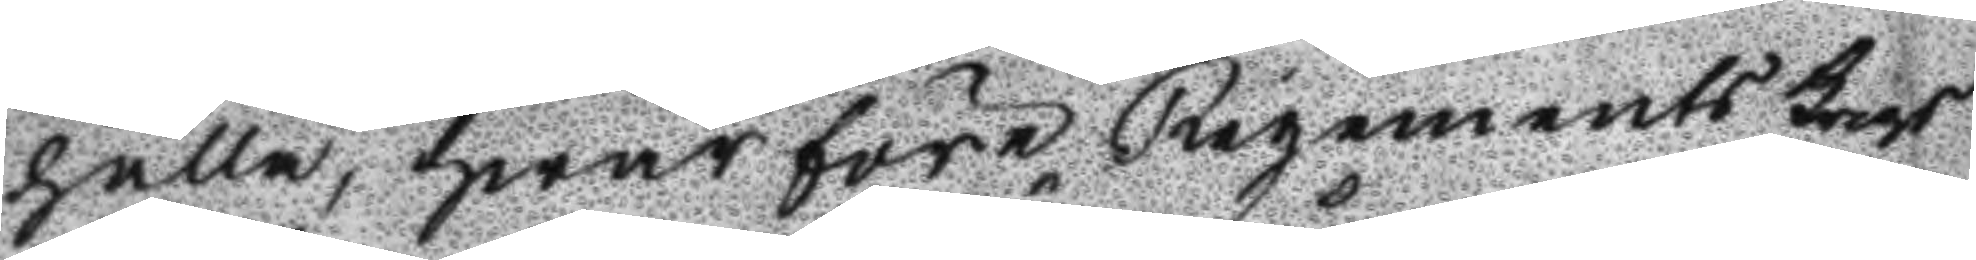hålla, hwarföre Regements Krigs
